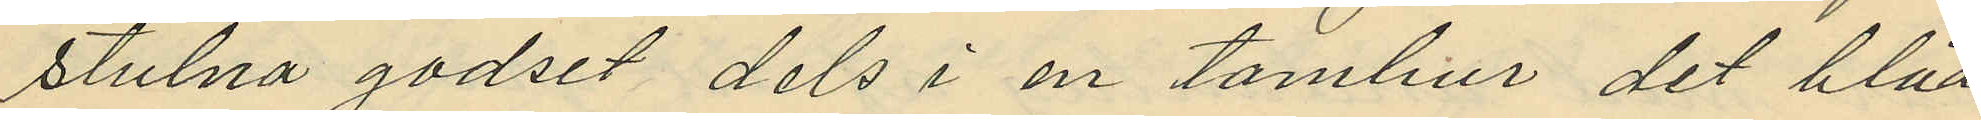stulna godset dels i en tambur det blåa
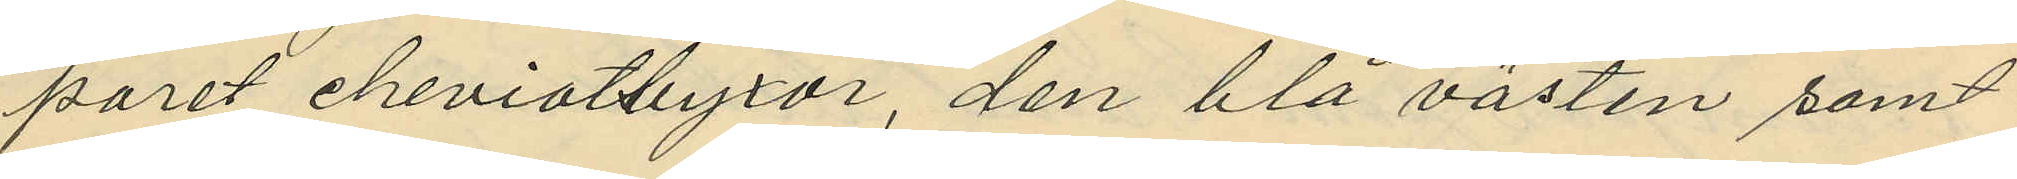paret cheviotbyxor, den blå västen samt
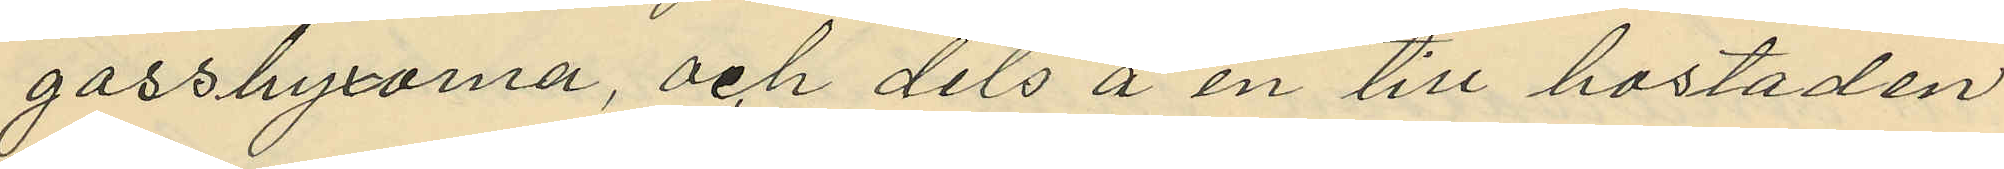gassbyxorna, och dels å en till bostaden
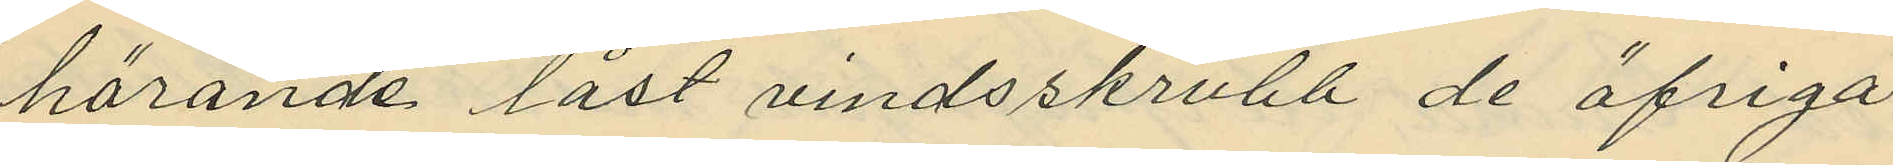hörande låst vindsskrubb de öfriga
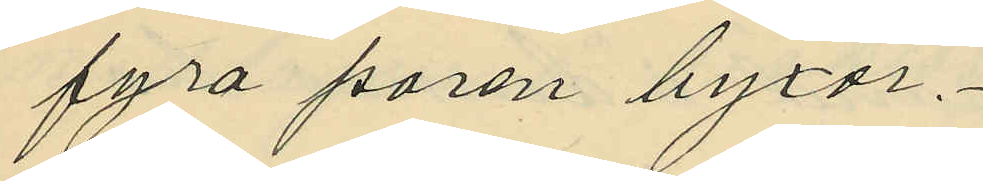fyra paren byxor.
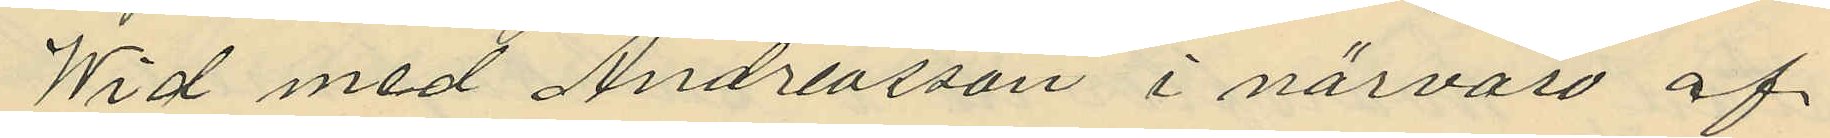Wid med Andreasson i närvaro af
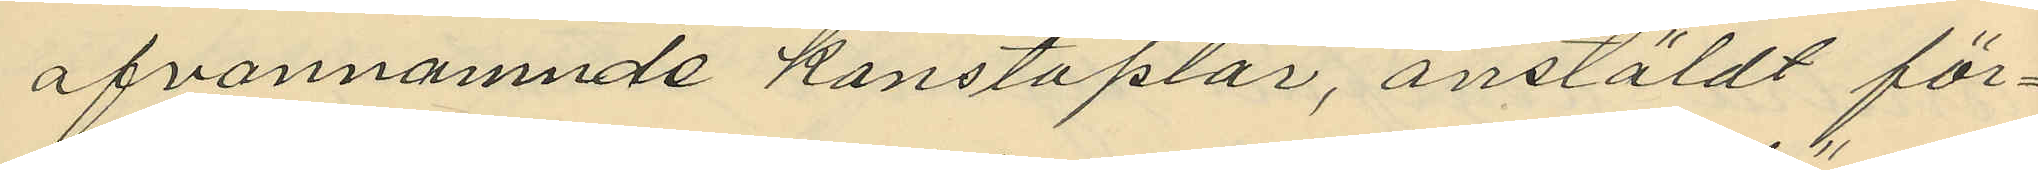ofvannamnde konstaplar, anstäldt för¬
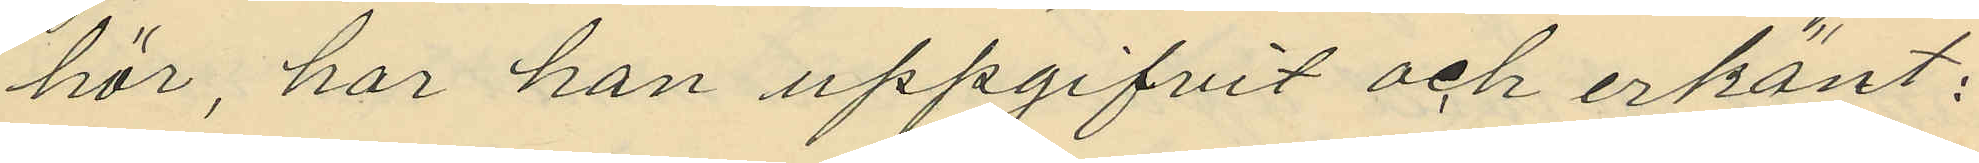hör, har han uppgifvit och erkänt:
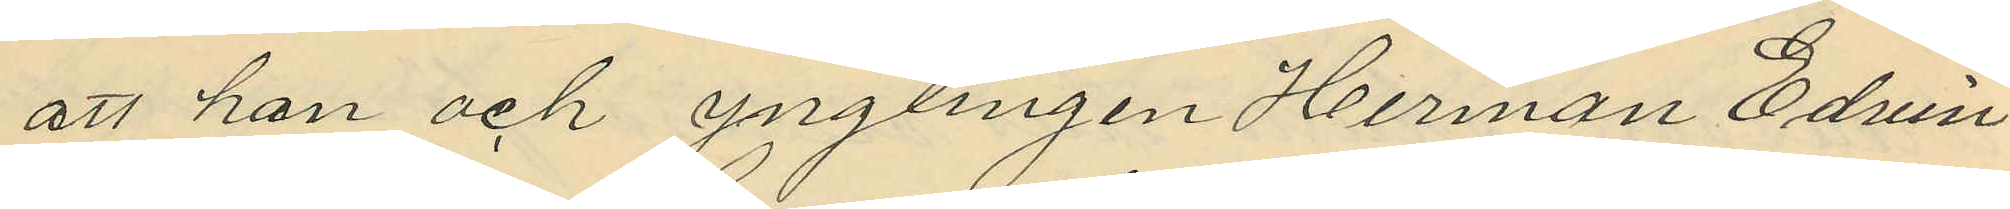att hon och ynglingen Herman Edvin
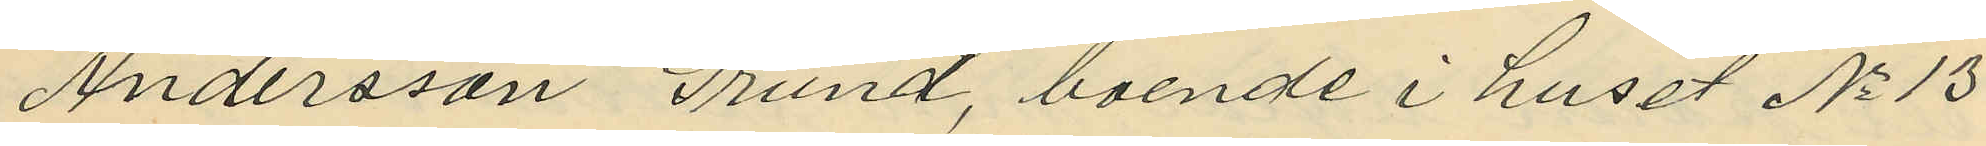Andersson Grund, boende i huset No 13
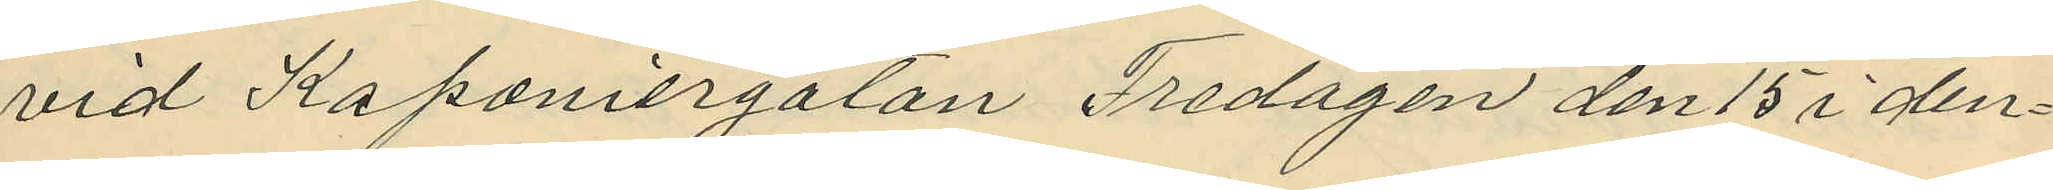vid Kaponiergatan Fredagen den 15 i den¬
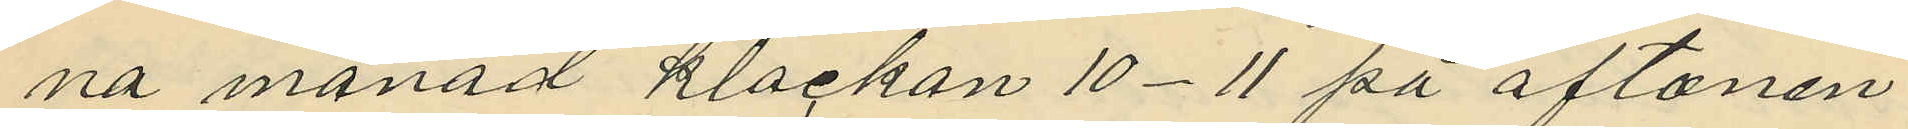na månad klockan 10-11 på aftonen
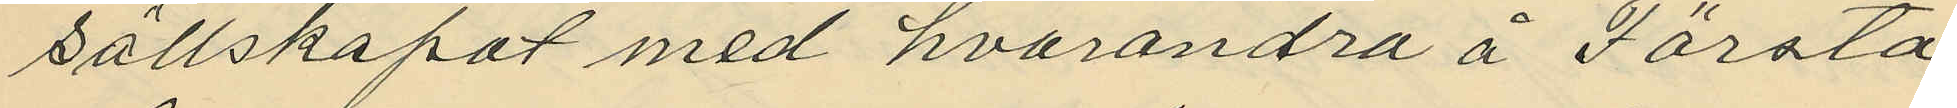sällskapat med hvarandra å Första
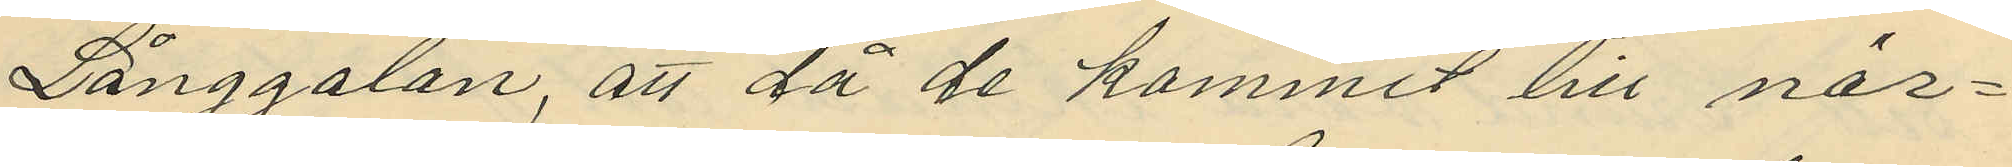Långgatan, att då de kommit till när¬
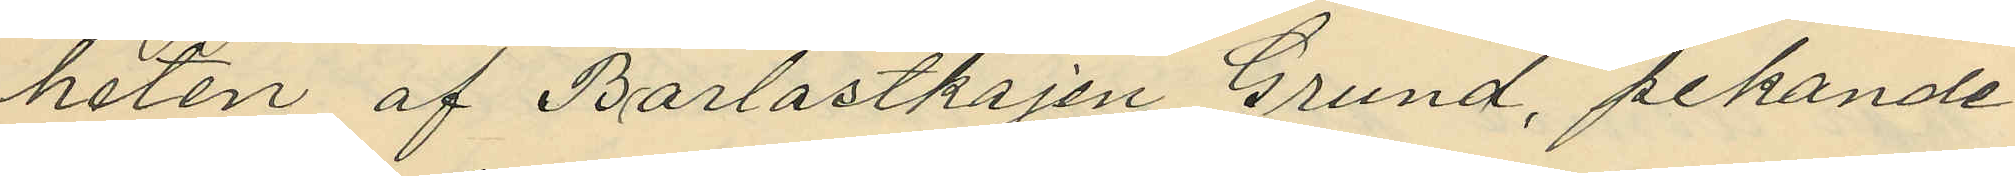heten af Barlastkajen Grund, pekande
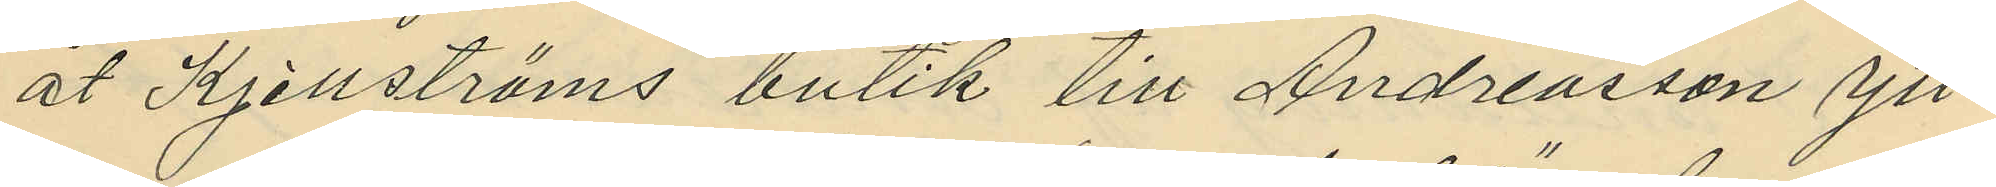åt Kjellströms butik till Andreasson ytt¬
